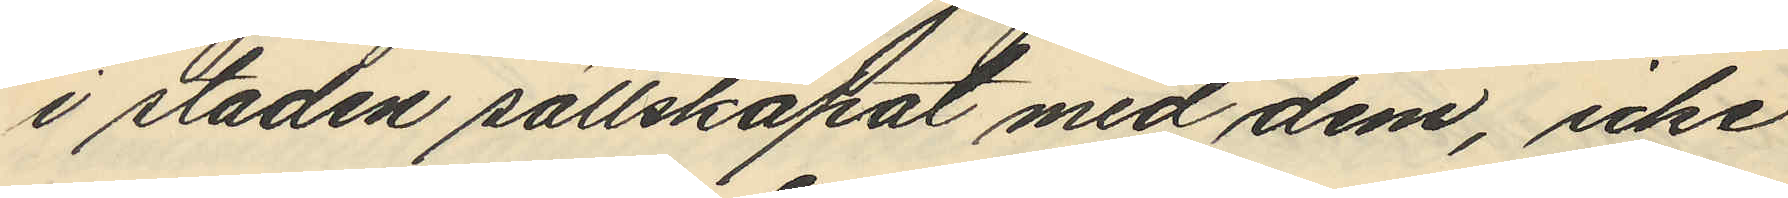i staden sällskapat med dem, icke
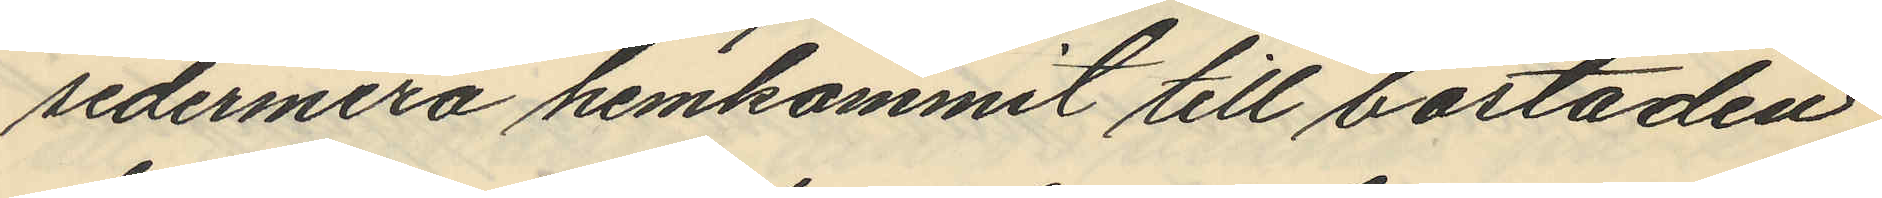sedermera hemkommit till bostaden
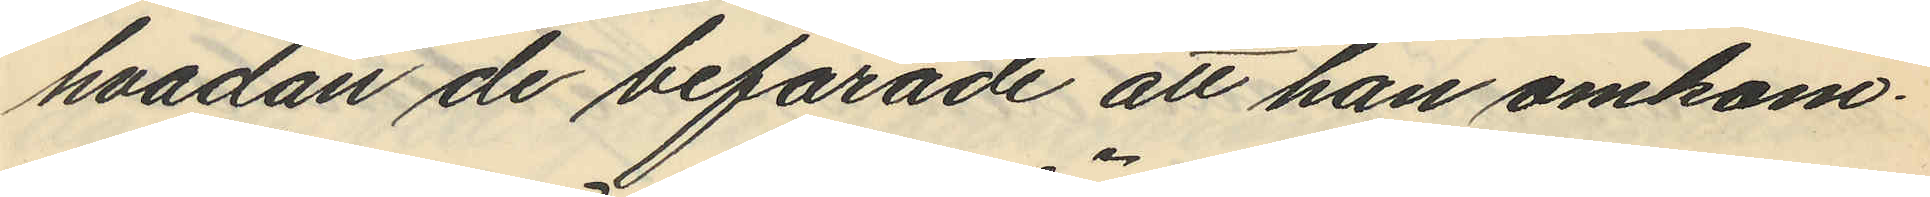hvadan de befarade att han omkom¬
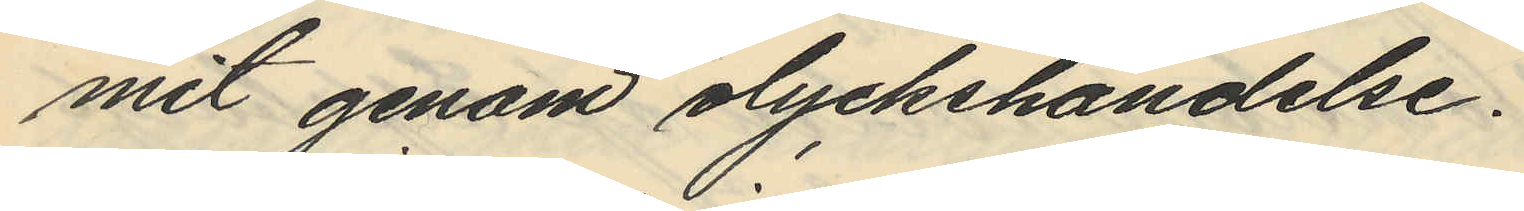mit genom olyckshändelse.
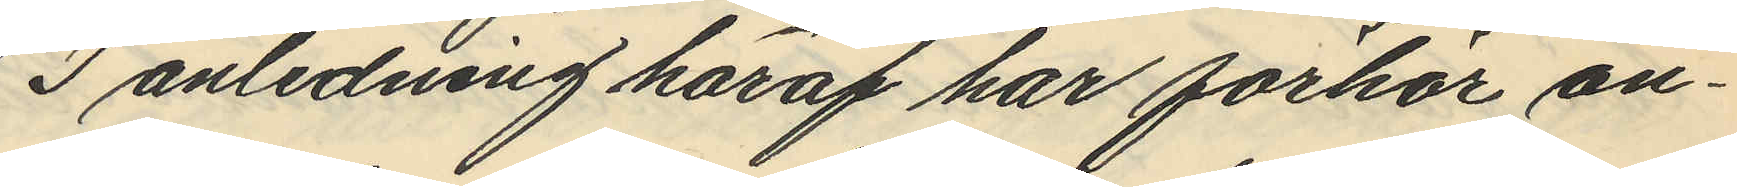I anledning häraf har förhör an¬
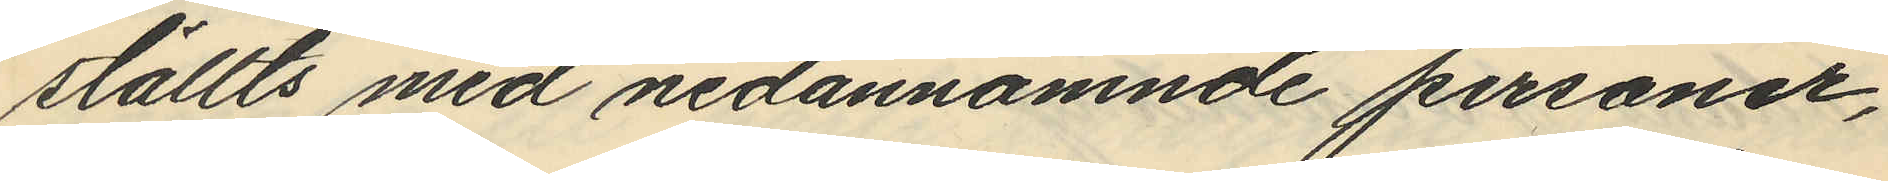ställts med nedannämnde personer,
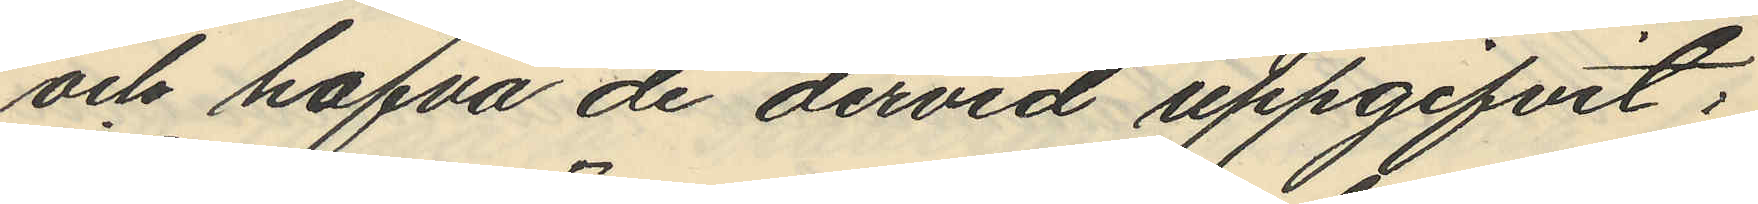och hafva de dervid uppgifvit:
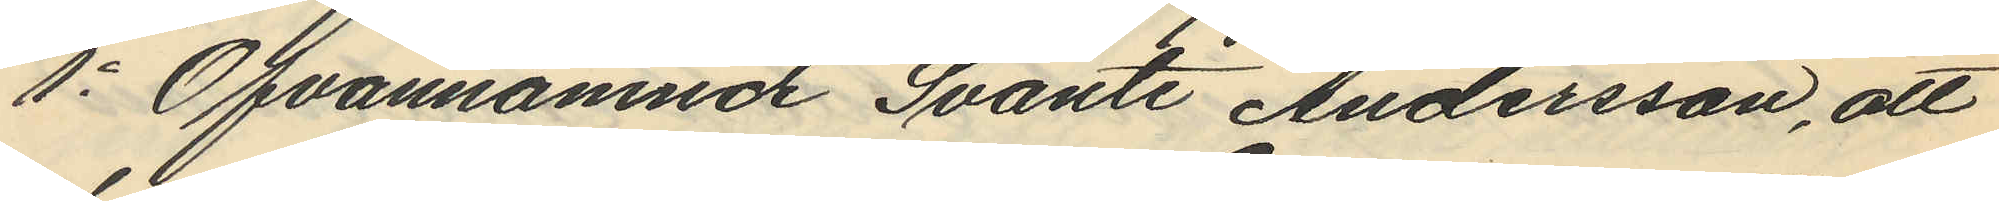1o Ofvannämnde Svante Andersson, att
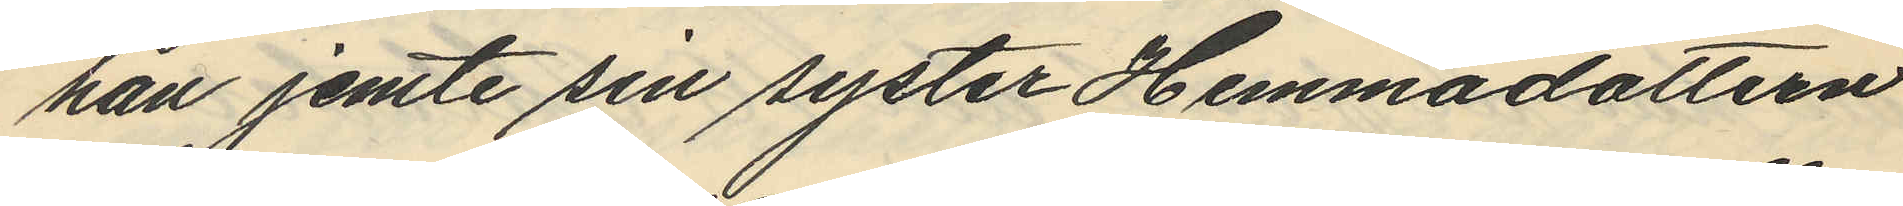han jemte sin syster Hemmadottern
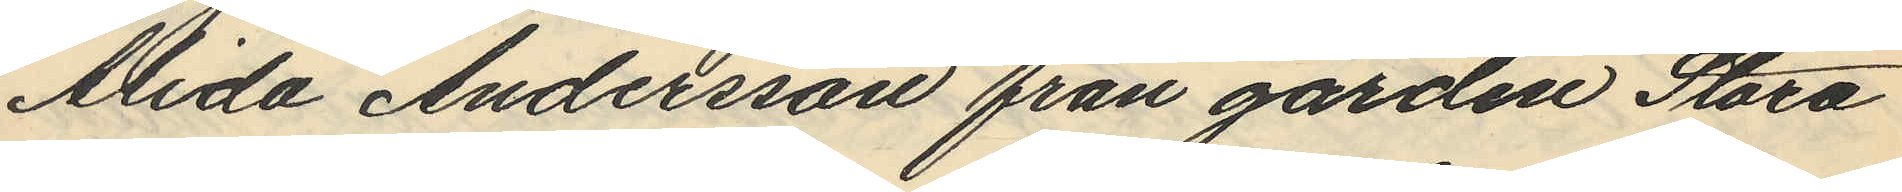Alida Andersson från gården Stora
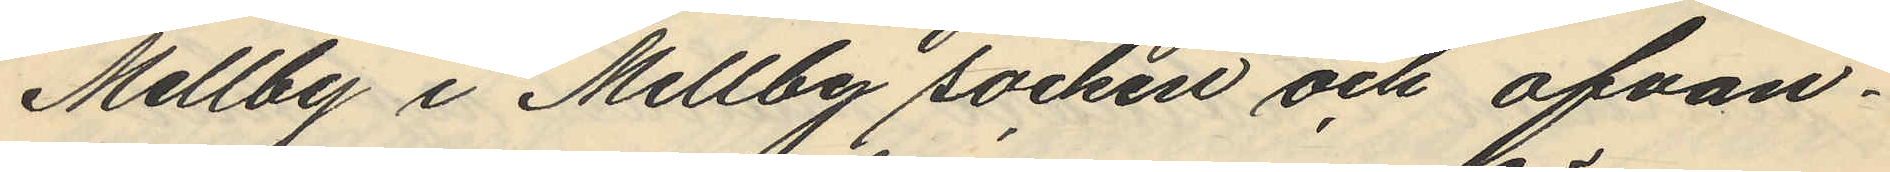Mellby i Mellby socken och ofvan¬
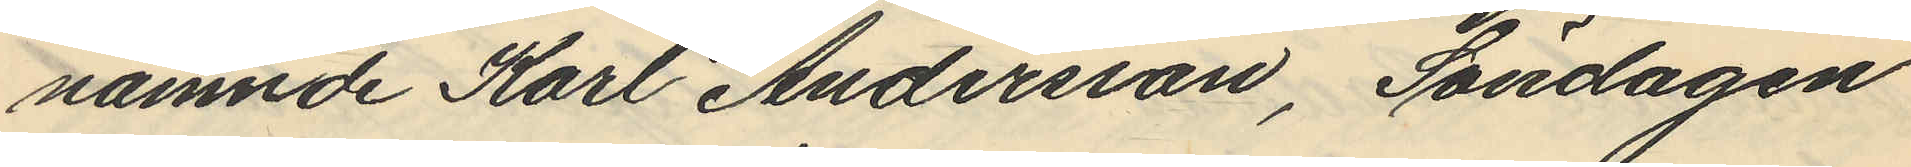nämnde Karl Andersson, Söndagen
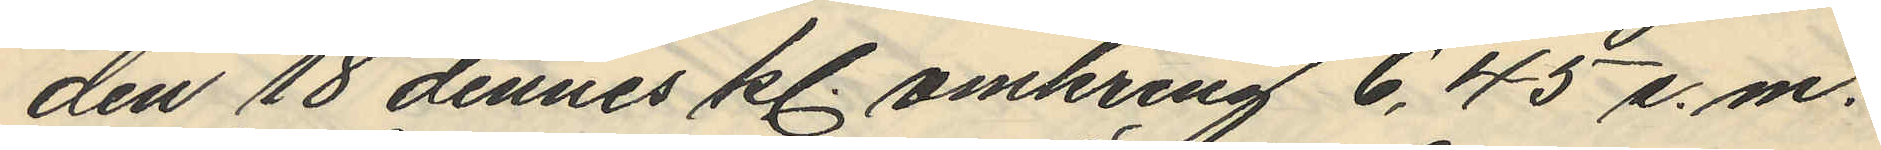den 18 dennes kl. omkring 6,45 e.m.
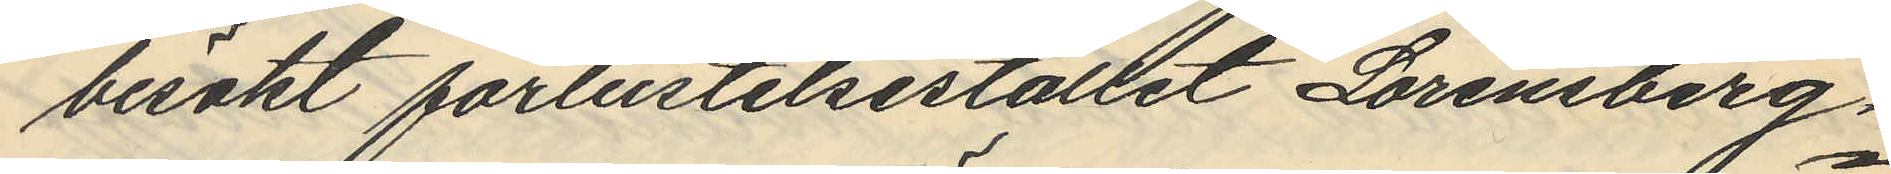besökt förlustelsestället Lorensberg,
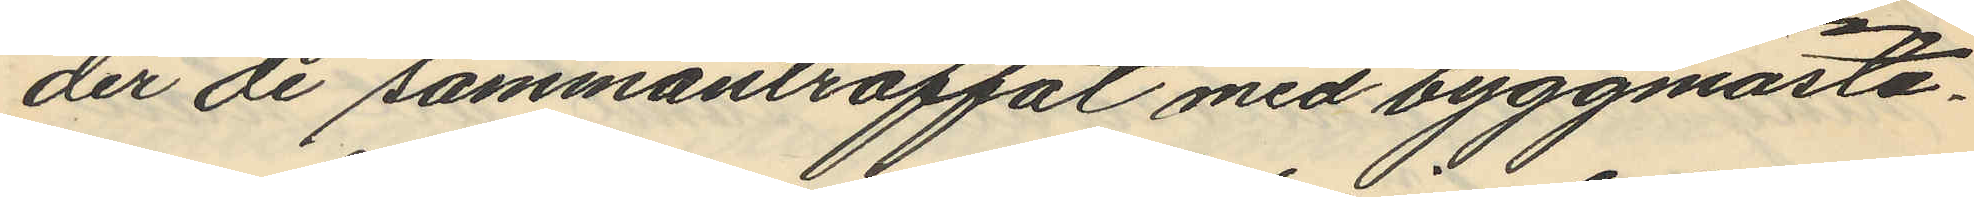der de sammanträffat med byggmästa¬
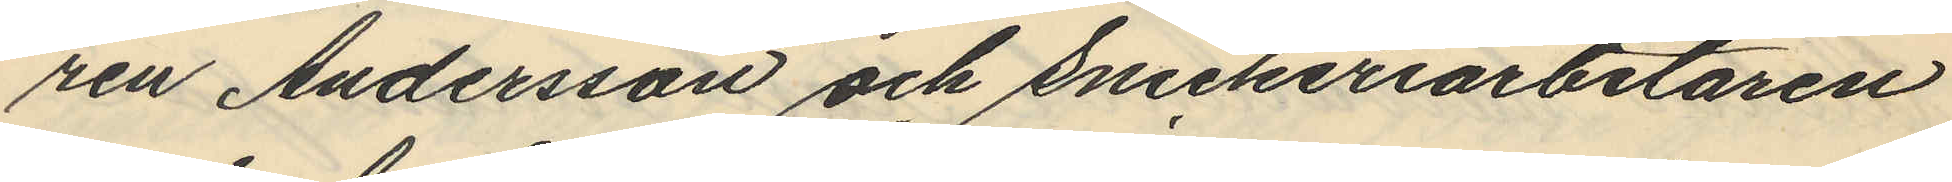ren Andersson och Snickeriarbetaren
